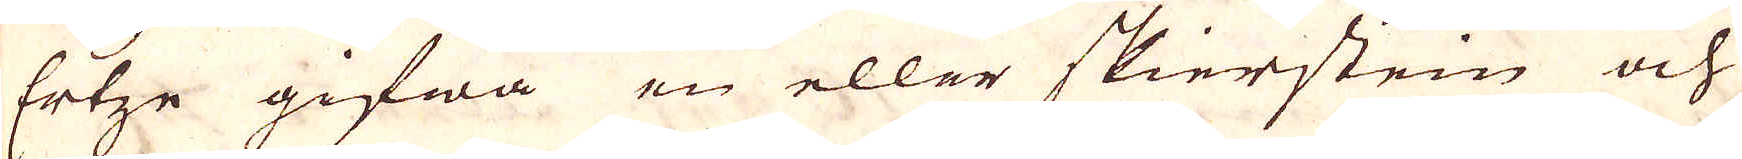Ertze gifwa en eller skierstein och
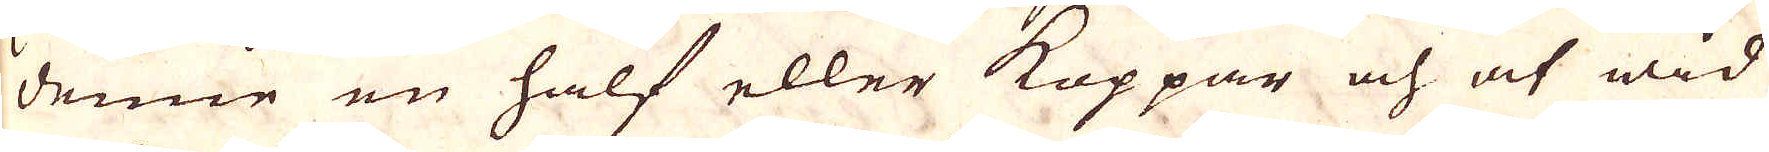denne en half eller Koppar och at wid
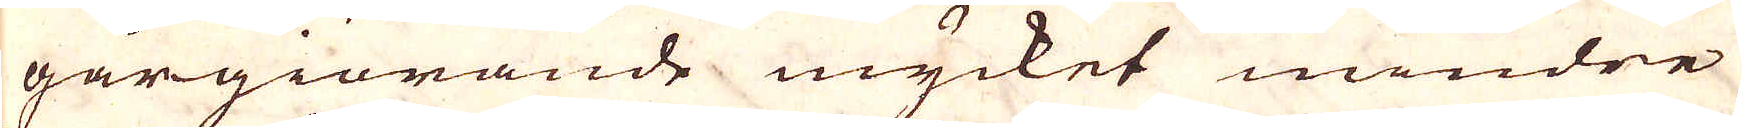gårgiörande mycket mindre
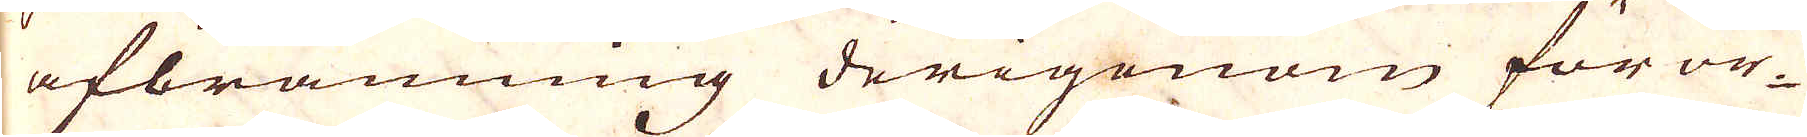afbränning derigenom föror-
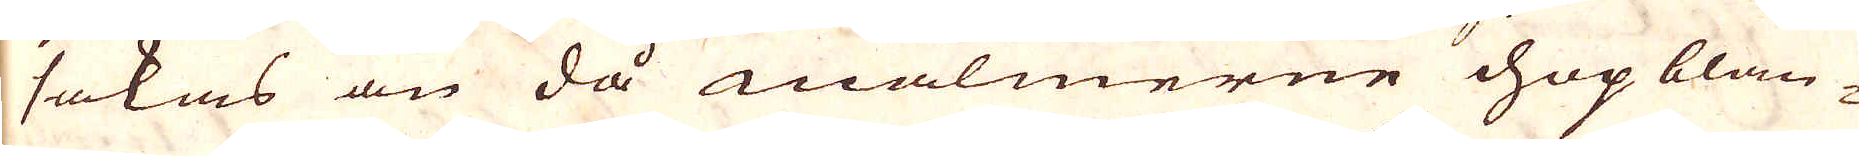sakas än då malmerne hopblan-
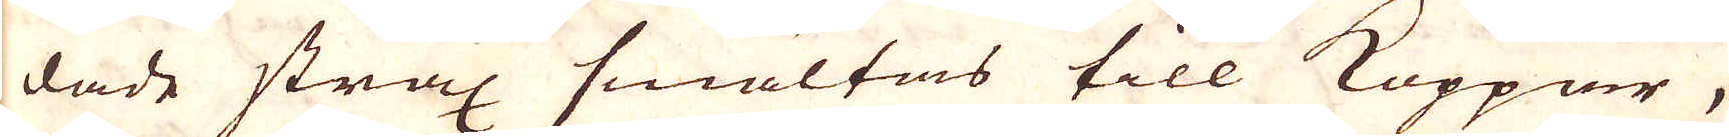dade strax smältas till Koppar,
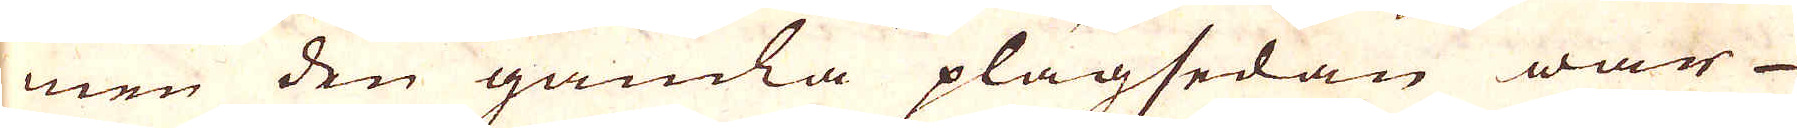men den gamla plagsedan war
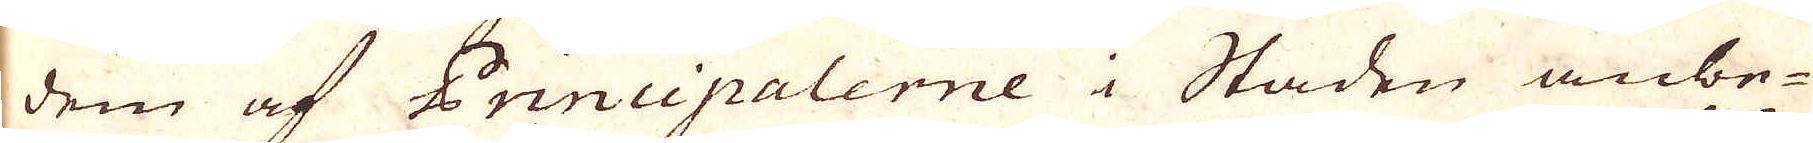dem af Principalerne i Staden anbe-
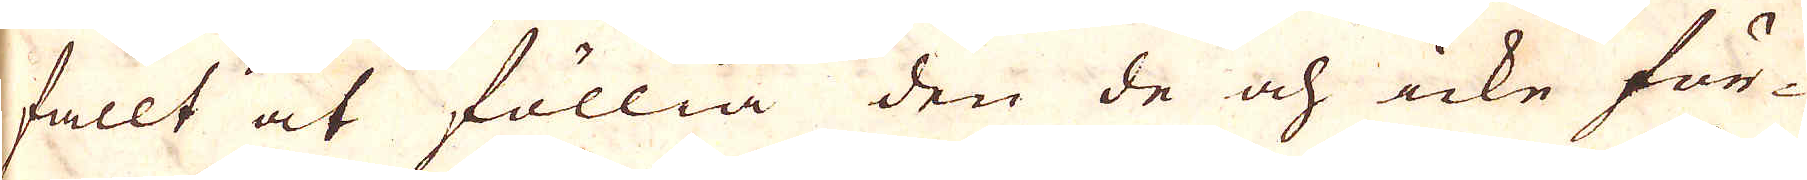fallt at föllia den de och icke för-
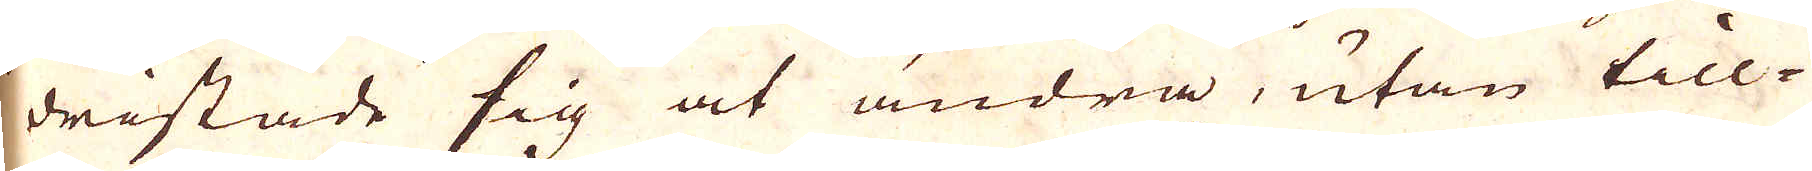dristade sig at ändra, utan till-
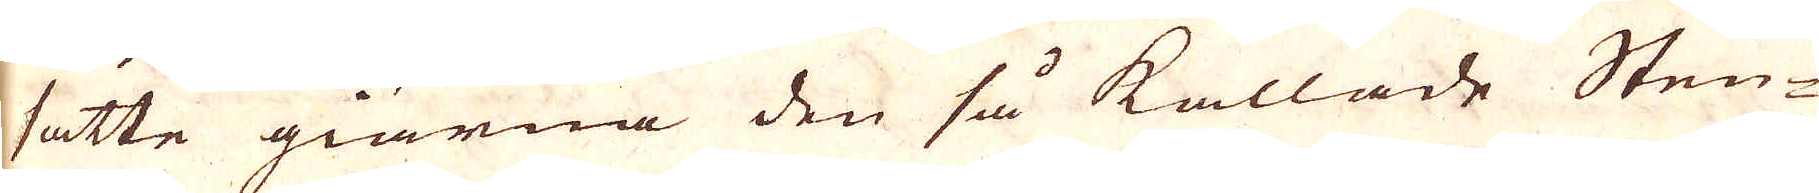satte giärna den så kallade Sten-
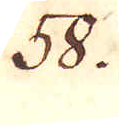38.
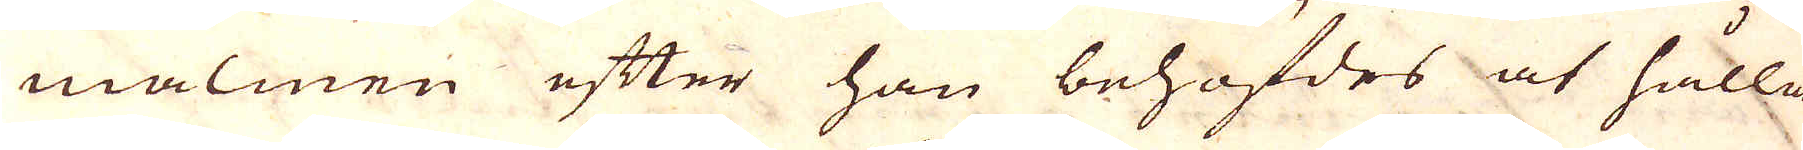malmen efter han behöfdes at hålla
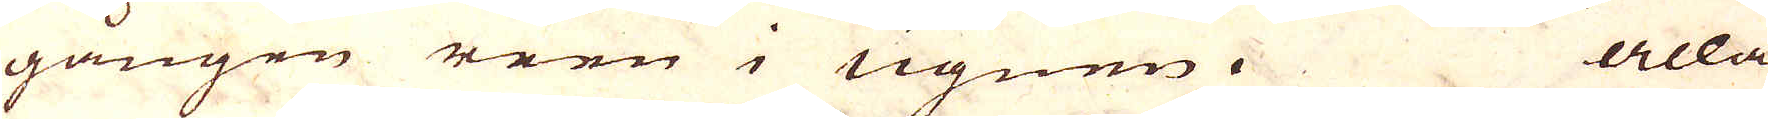gången reen i ugnen. Alla
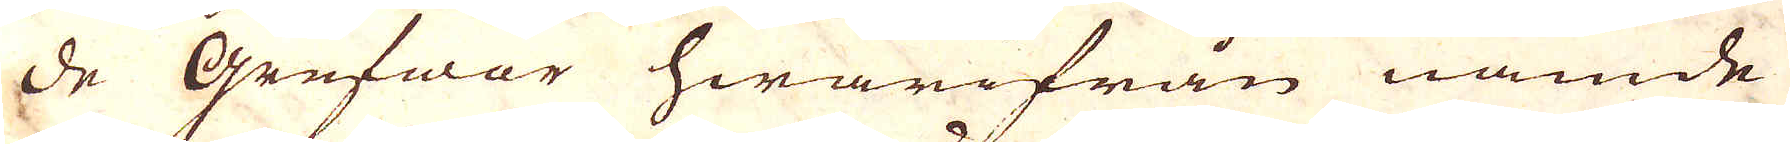de grufwor hwarifrån nämde
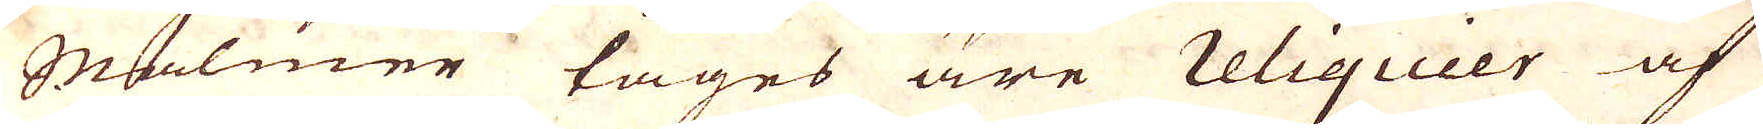Malmer tages äre reliquier af
